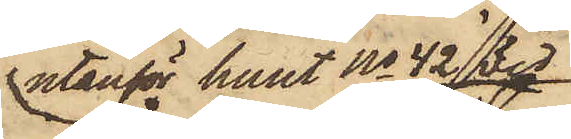utanför huset No 42 vid
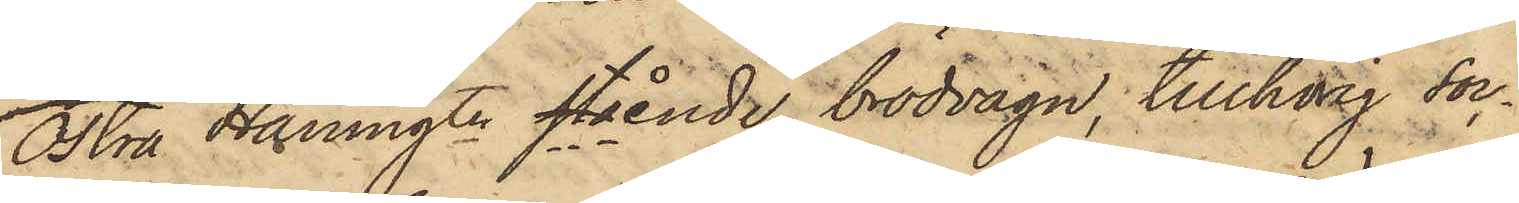Östra Hamngtn stående brödvagn, tillhörig soc¬
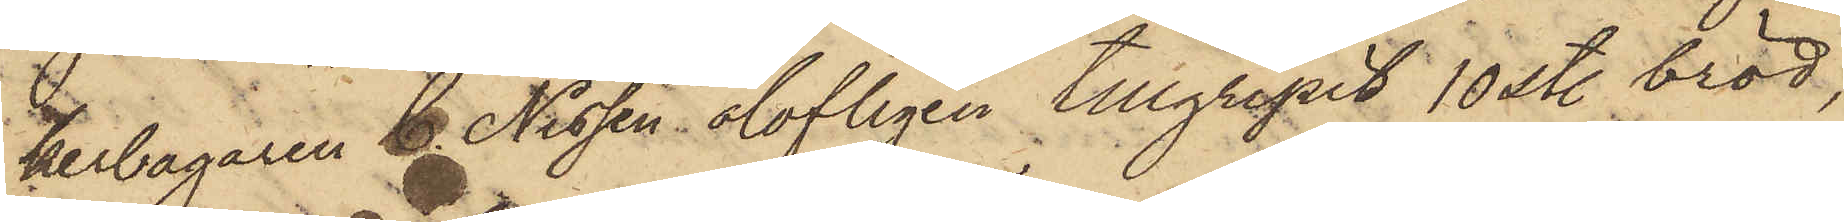kerbagaren C. Nissen olofligen tillgripit 10 st. bröd,
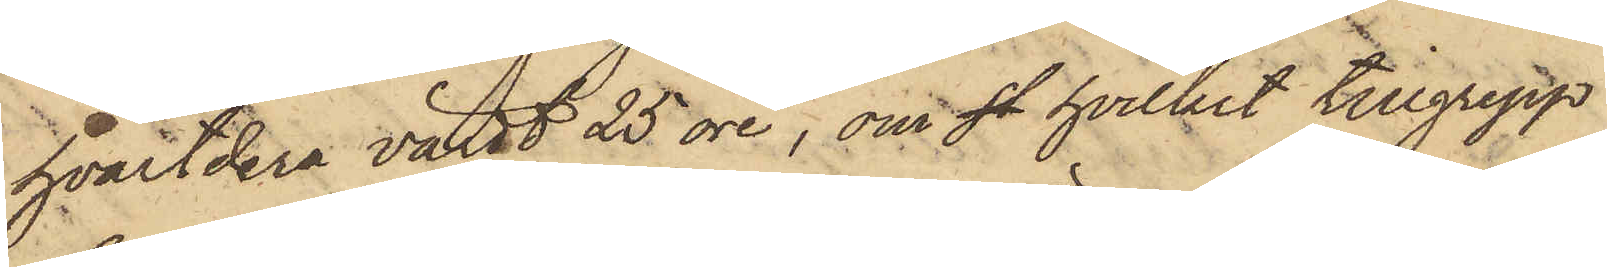hvartdera värdt 25 öre, om st hvilket tillgrepp
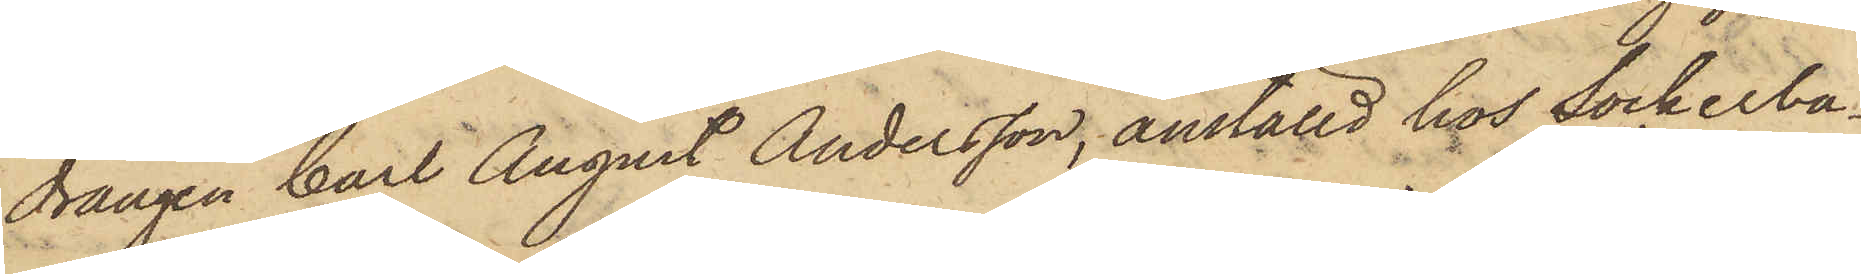drängen Carl August Andersson, anställd hos Sockerba¬
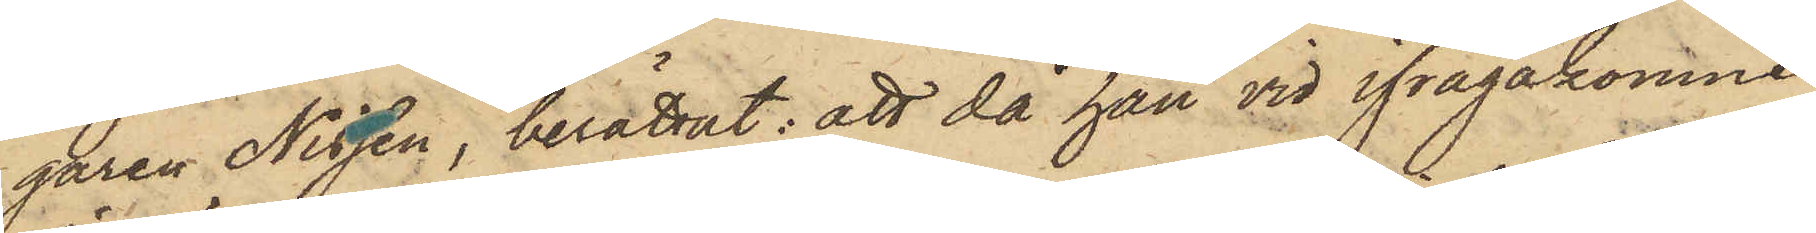garen Nissen, berättat: att då han vid ifrågakomne
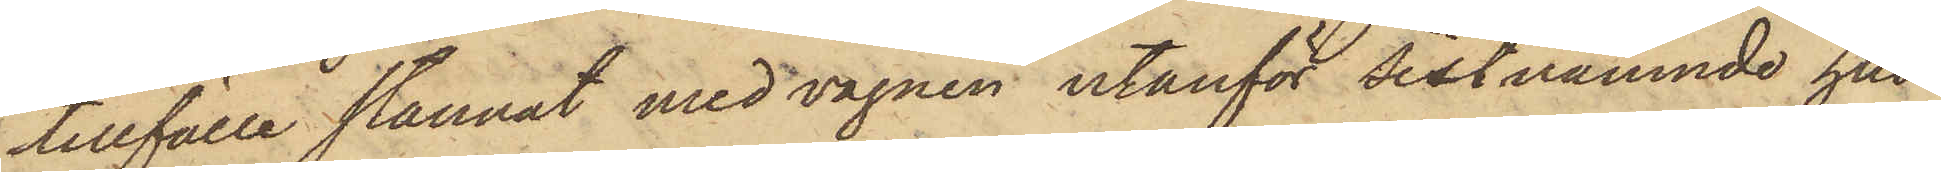tillfälle stannat med vagnen utanför sistnämnde hus
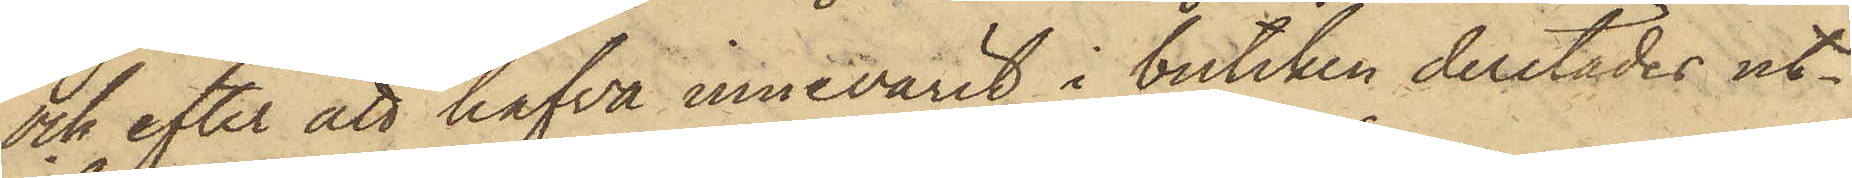och efter att hafva innevarit i butiken derstädes ut¬
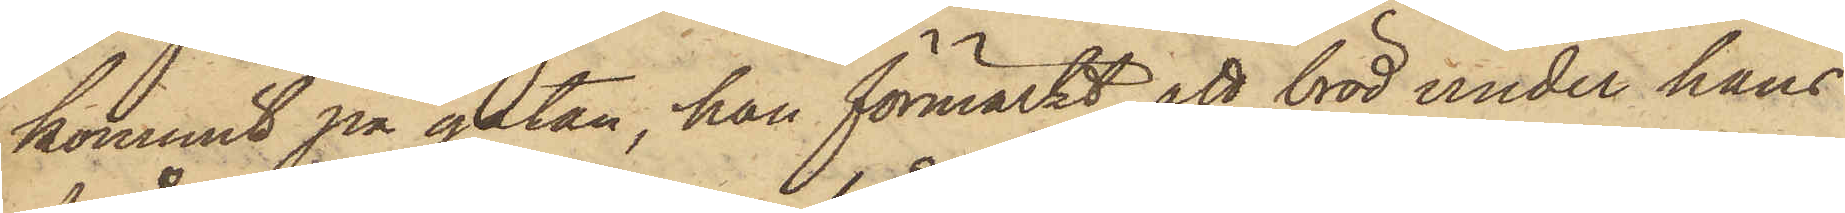kommit på gatan, han förmärkt att bröd under hans
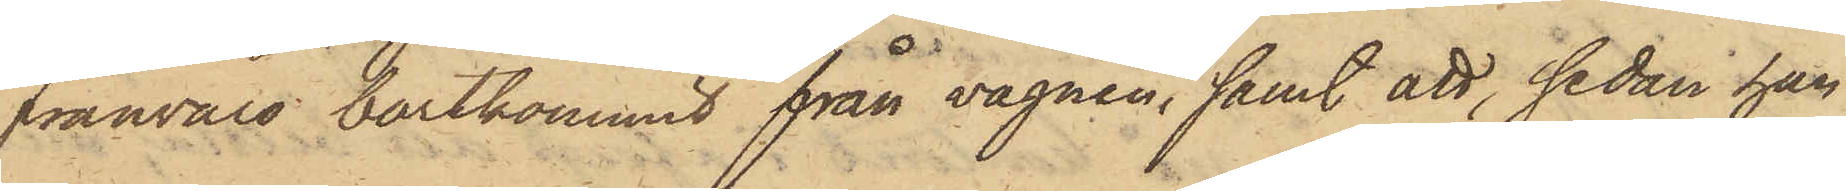frånvaro bortkommit från vagnen, samt att, sedan han
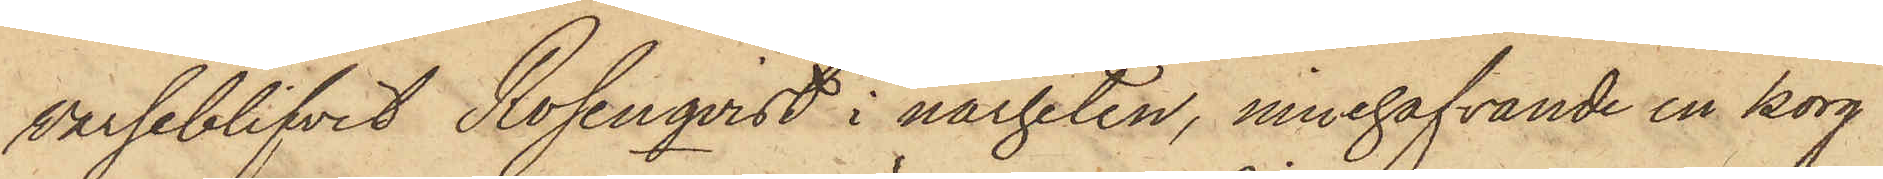varseblifvit Rosenqvist i närheten, innehafvande en korg
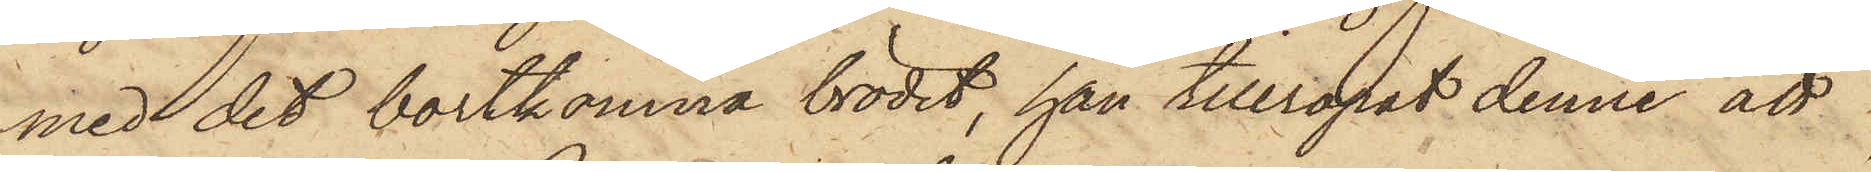med det bortkomna brödet, han tillropat denne att
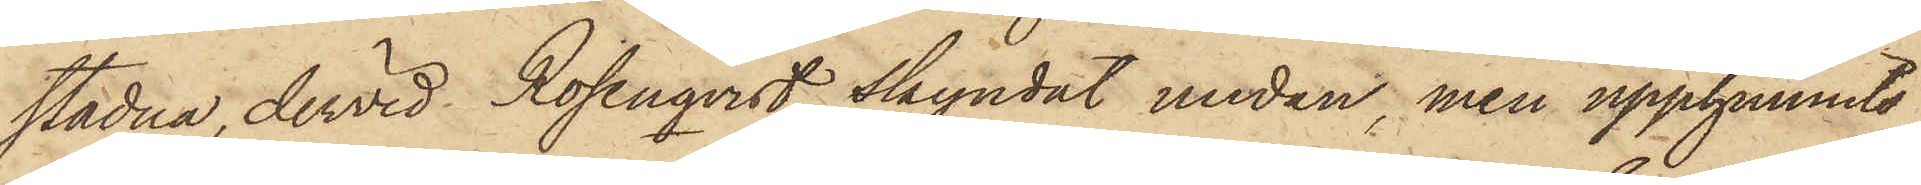stadna, dervid Rosenqvist skyndat undan, men upphunnits
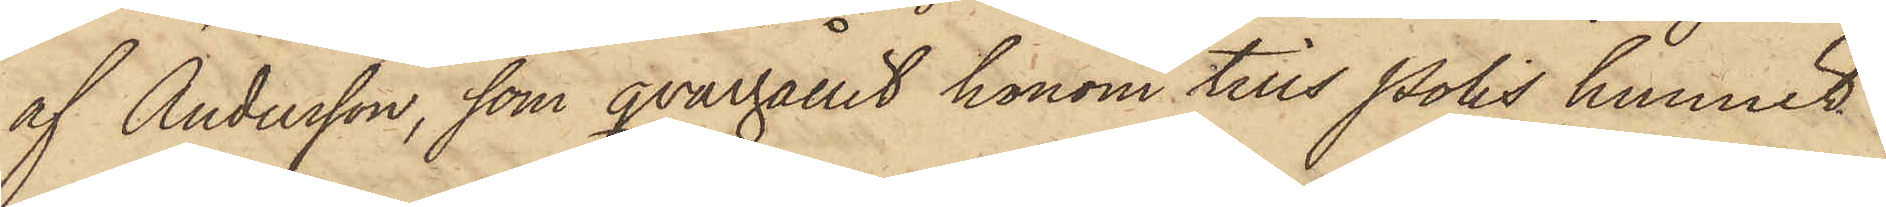af Andersson, som qvarhållit honom tills Polis hunnit
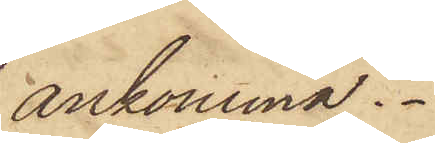ankomma.
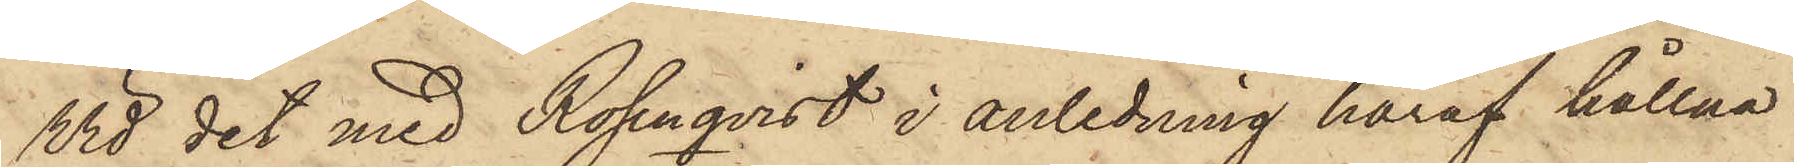Vid det med Rosenqvist i anledning häraf hållna
